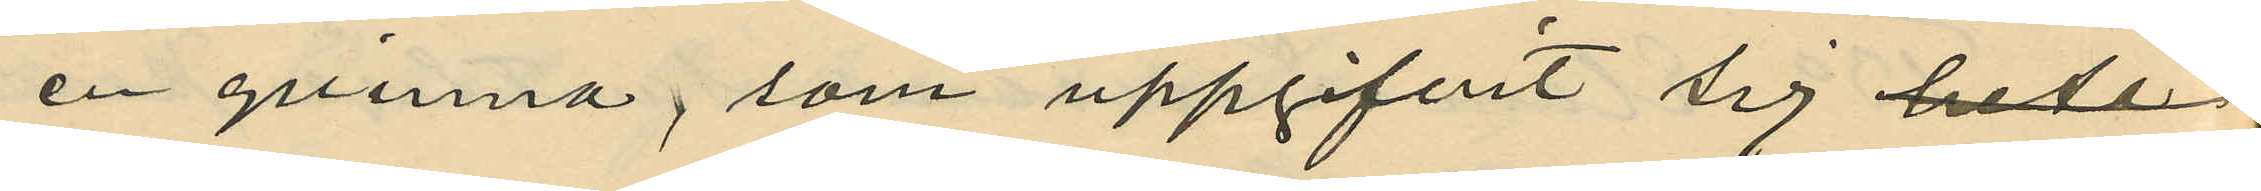en qvinna, som uppgifvit sig 
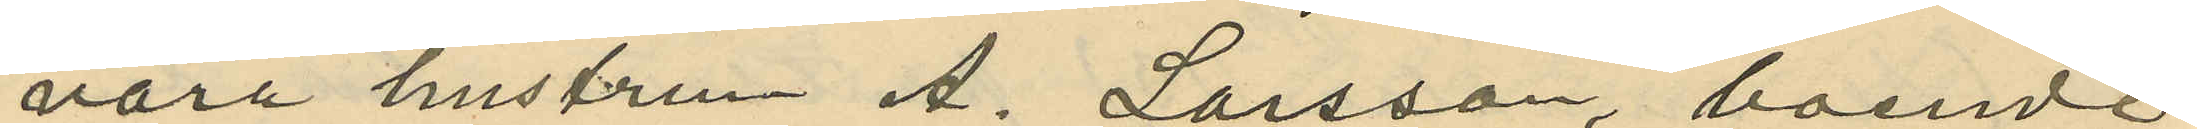vara hustrun A. Larsson, boende
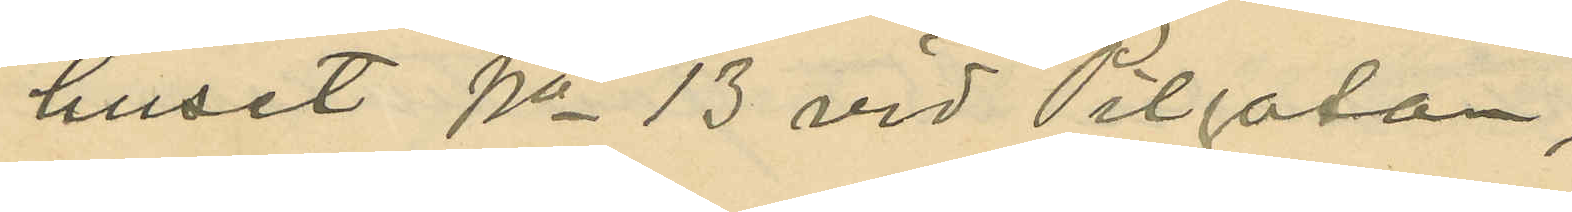huset No 13 vid Pilgatan;
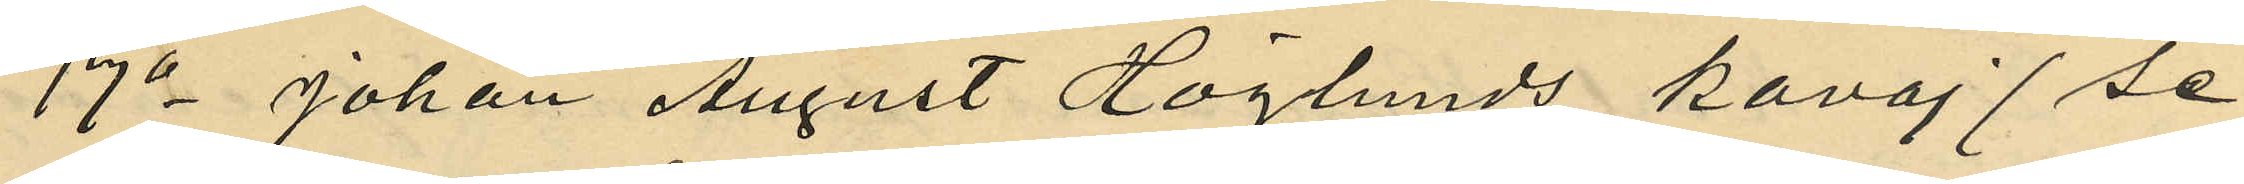17o Johan August Höglunds kavaj (se
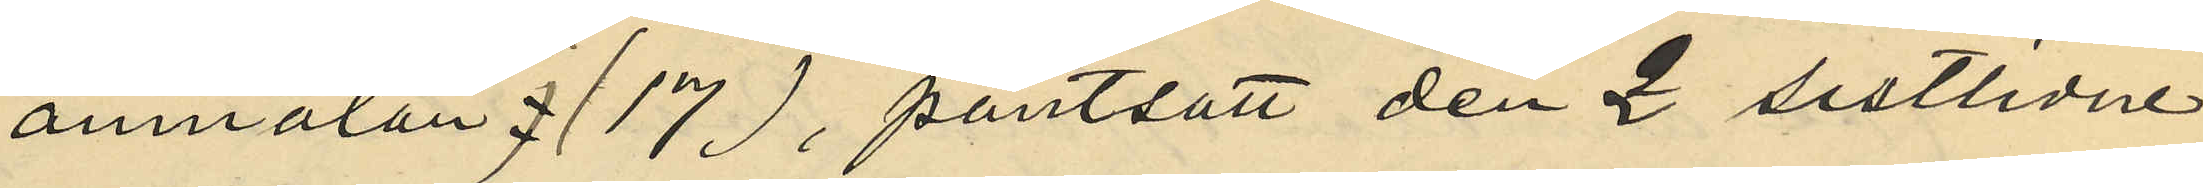anmälan No 17), pantsatt den 2 sistlidne
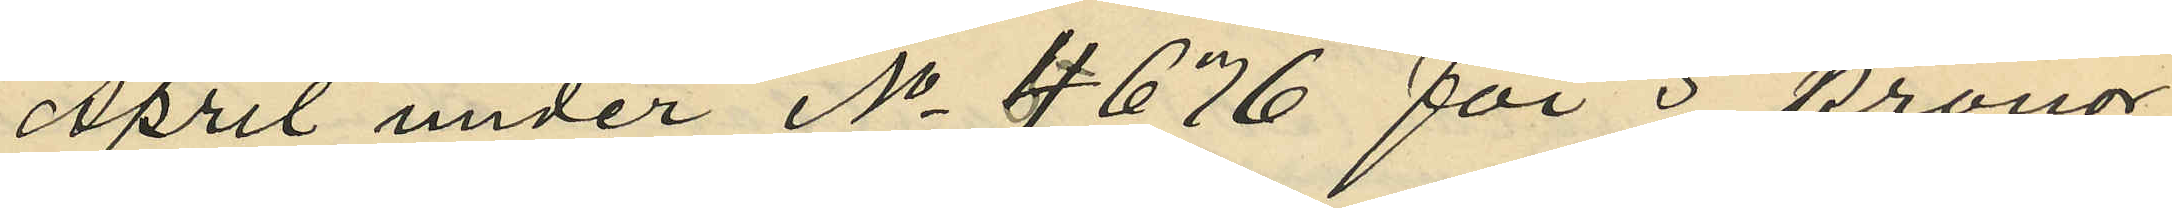April under No 4676 för 5 kronor
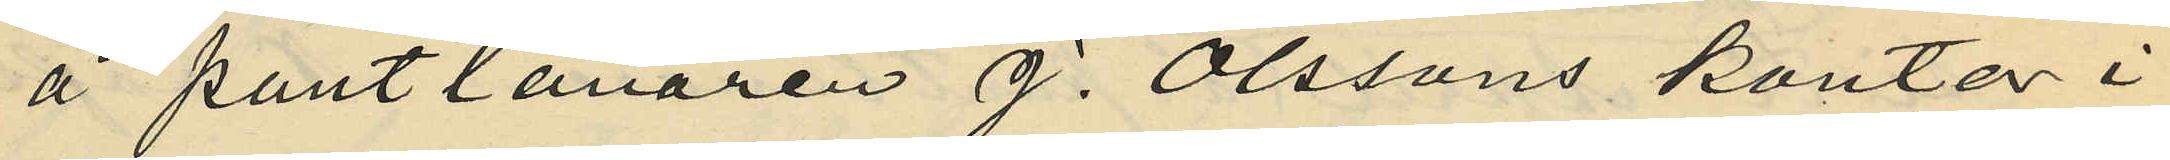å pantlånaren J. Olssons kontor i
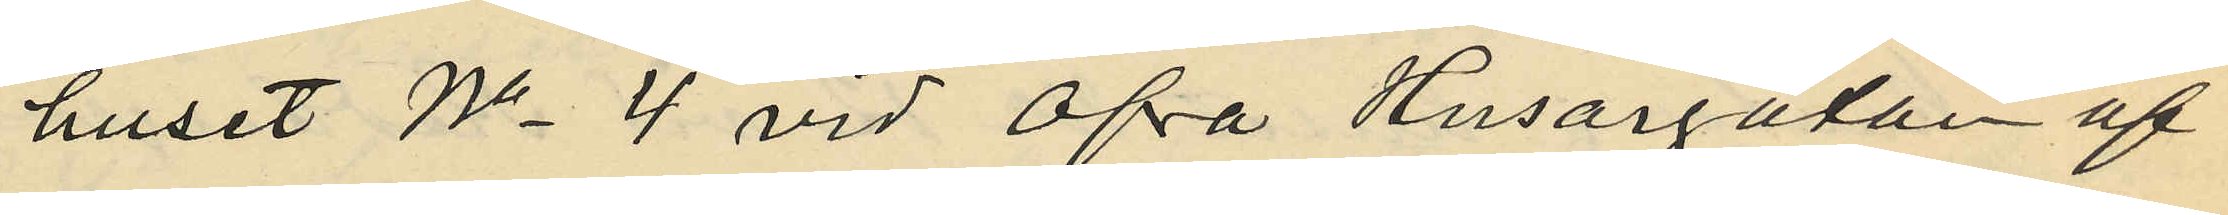huset No 4 vid Öfra Husargatan af
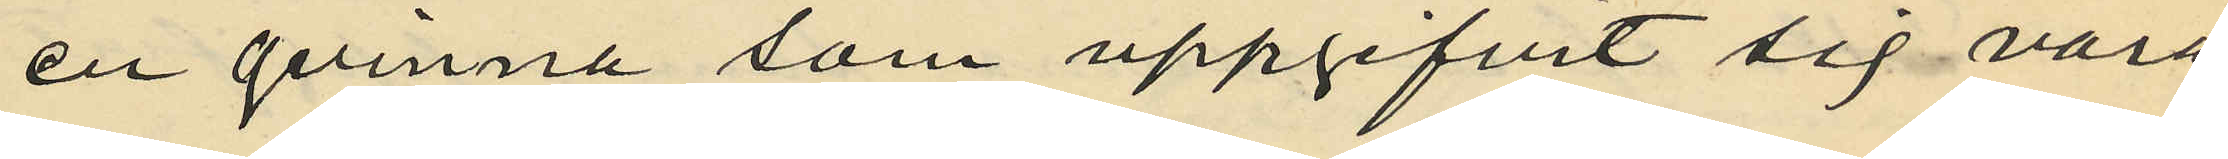en qvinna som uppgifvit sig vara
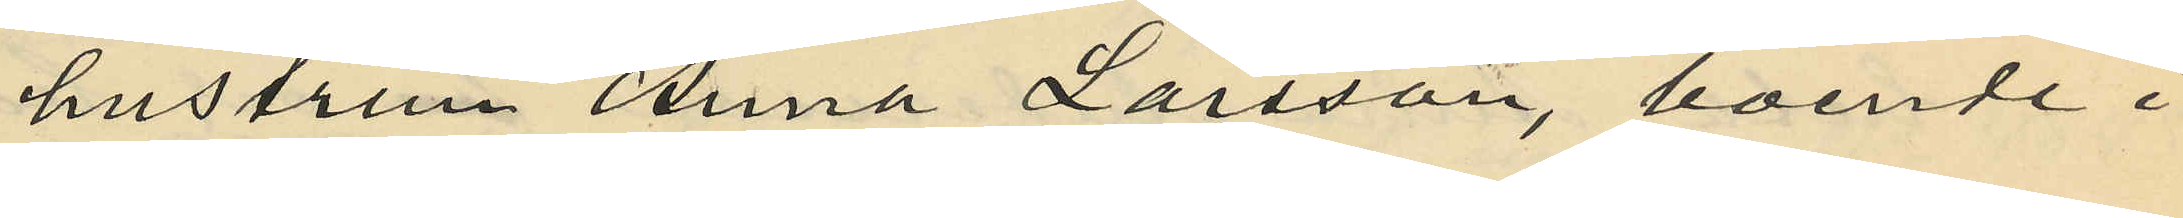hustrun Anna Larsson, boende i
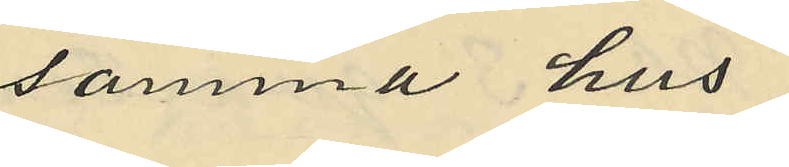samma hus;
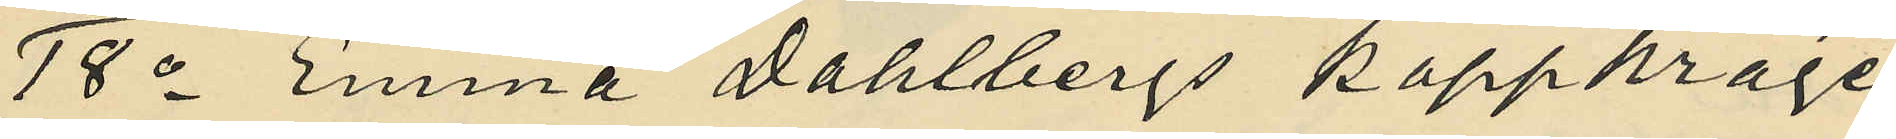18o Emma Dahlbergs kappkrage
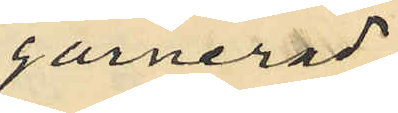garnerad.
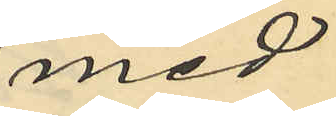med
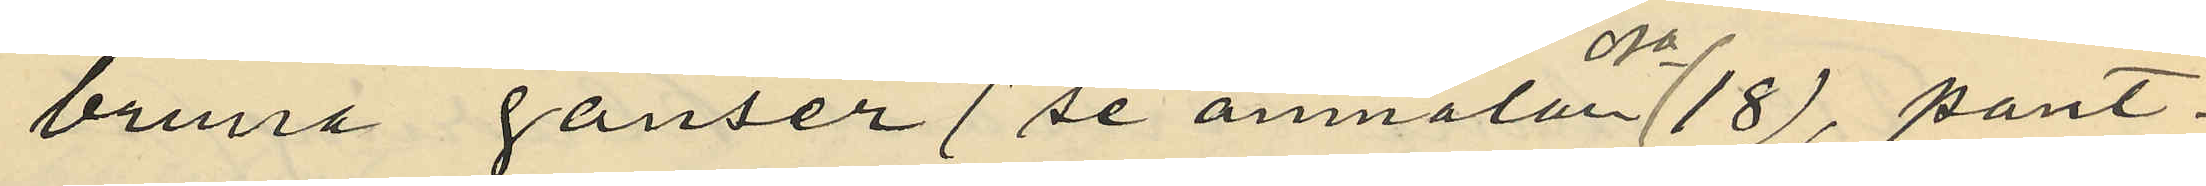bruna ganser (se anmälan No 18), pant¬
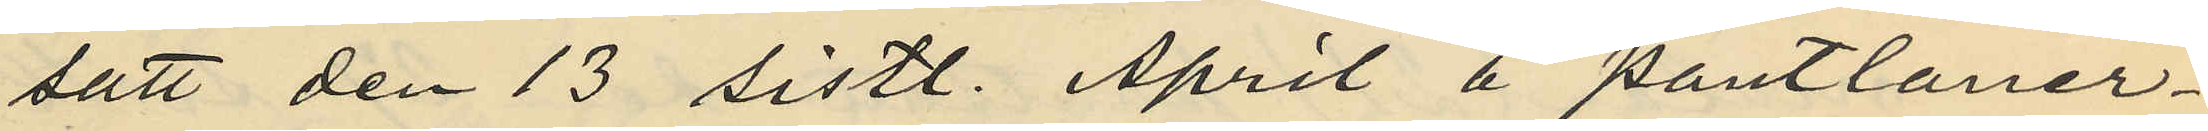satt den 13 sistl. April å pantlåner¬
